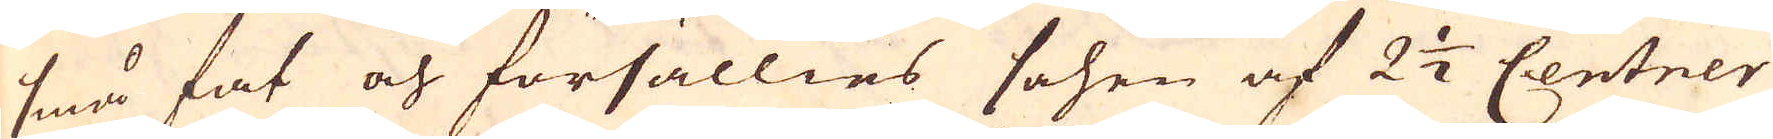små fat och försällies sohen af 2 1/2 Centner
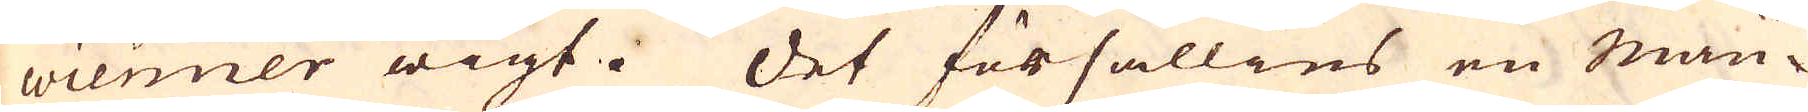wienner wigt. Det försällies en Mau-
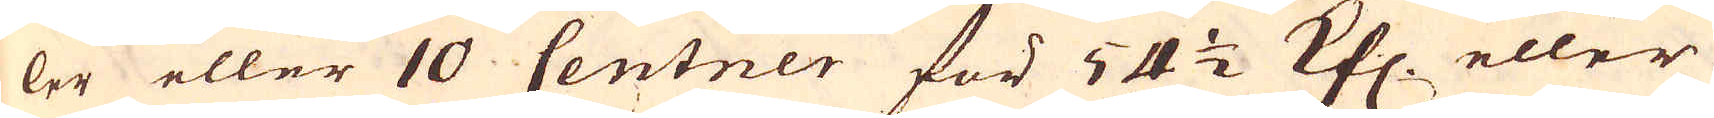ler eller 10 Centner för 54 1/2 Khl eller
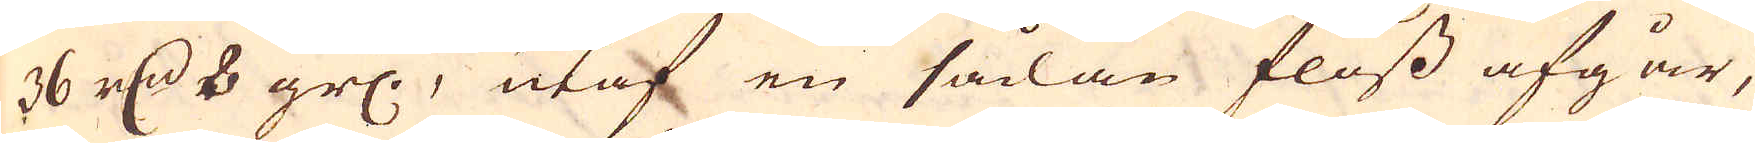36 r:dr 8 grs., utaf en sådan floss afgår,
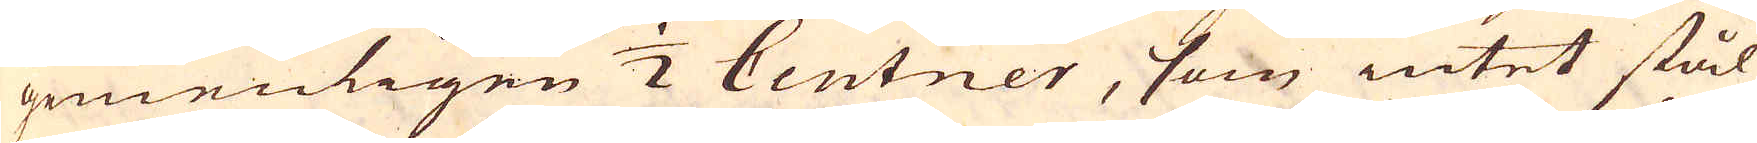gemenligen 1/2 Centner, som intet stål
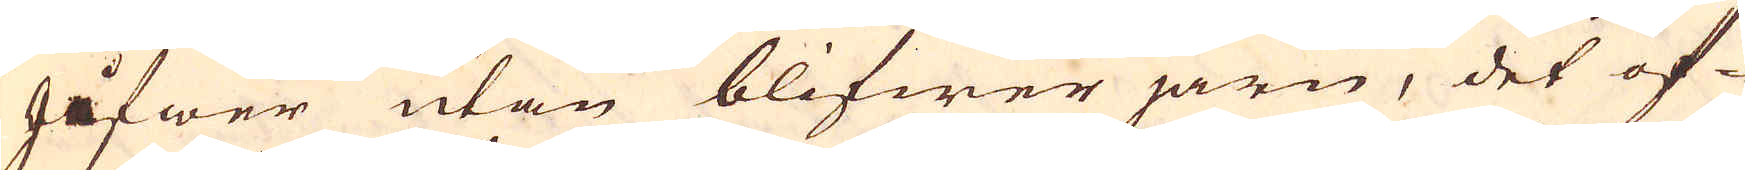gifwer utan blifwer järn, det öf-
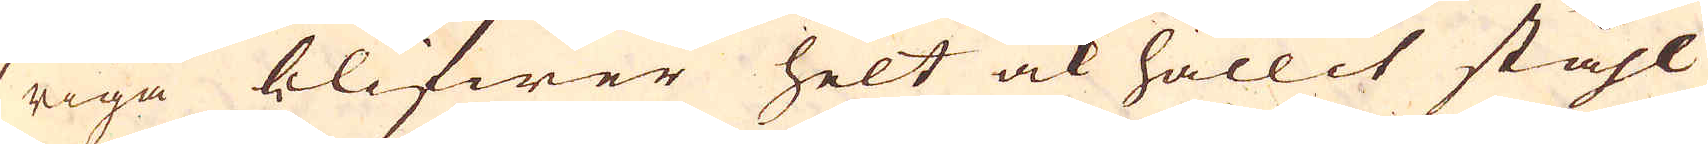riga blifwer helt ock hållit ståhl
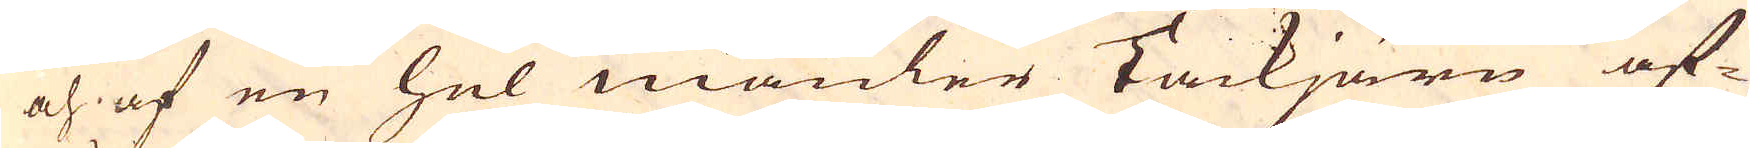och af en hel mäuler Tackjärn af-
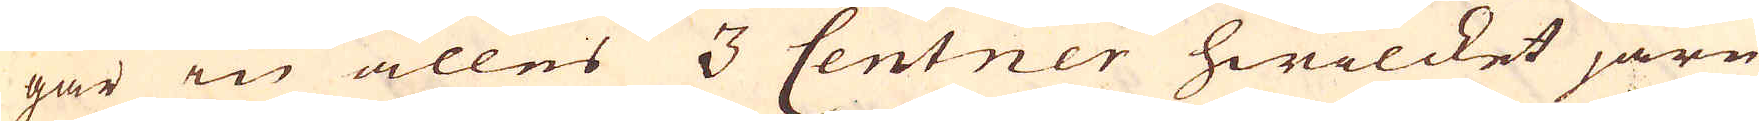går in alles 3 Centner hwilcket järn
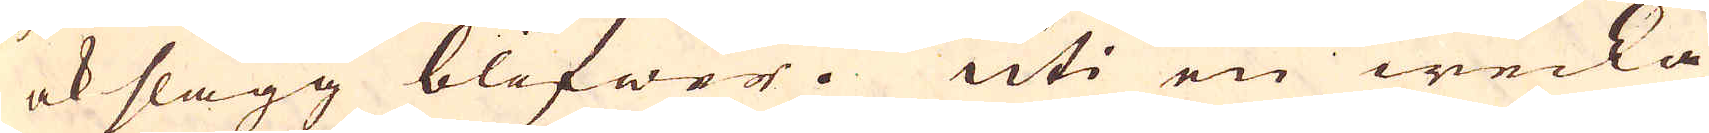ok slagg blifwer. Uti en wecka
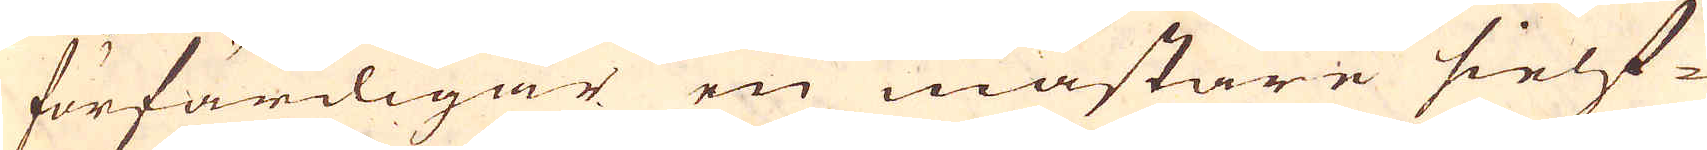förfärdigar en mästare sielf
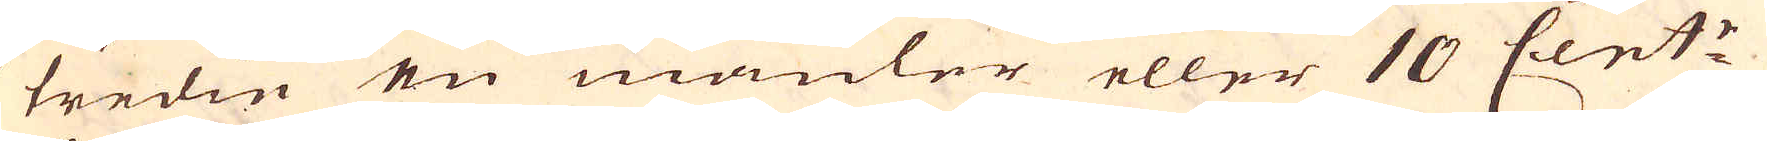tredie en mäuler eller 10 Cent:r
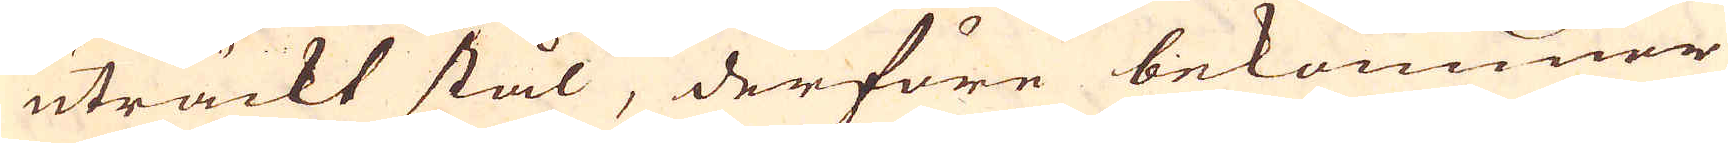uträckt stål, derföre bekommer
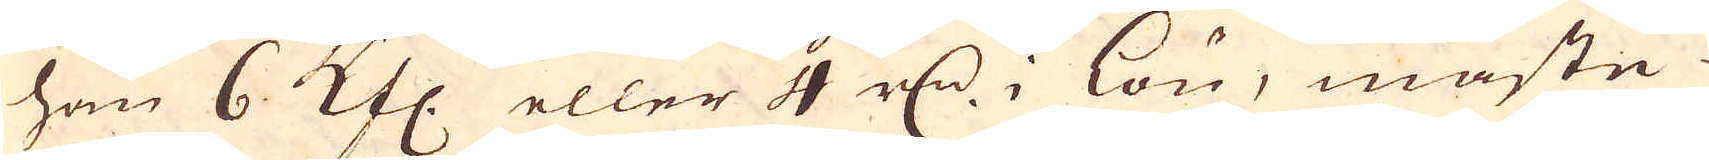han 6 Kfl. eller 4 r:dr i lön, måste
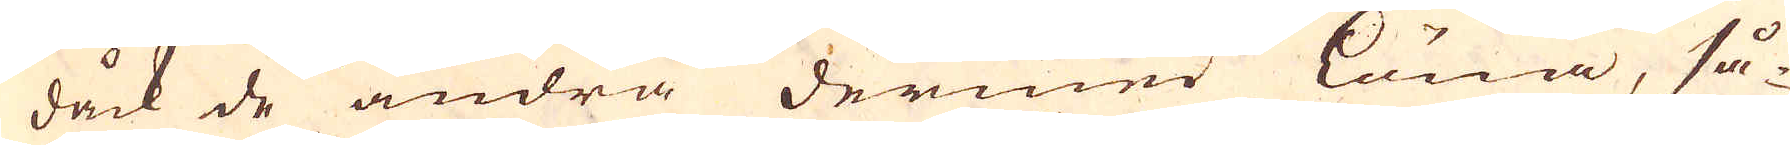dåck de andra dermed löna, så-
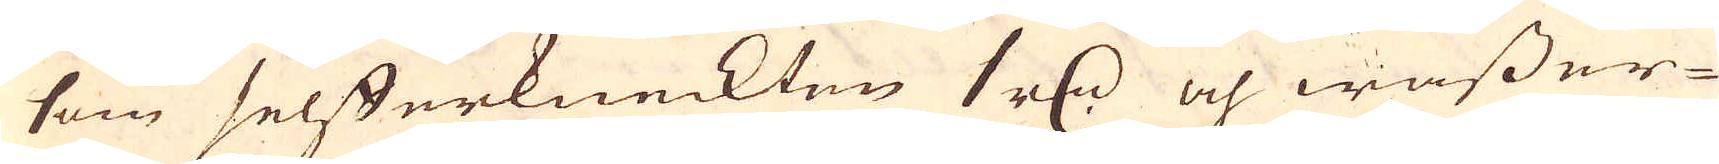som selfferkneckten 1 r:dr och wasser-
